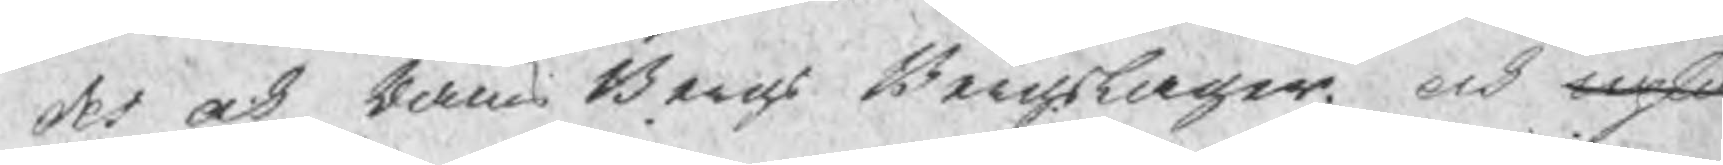des och Rams Bergs Bergslager och uples¬
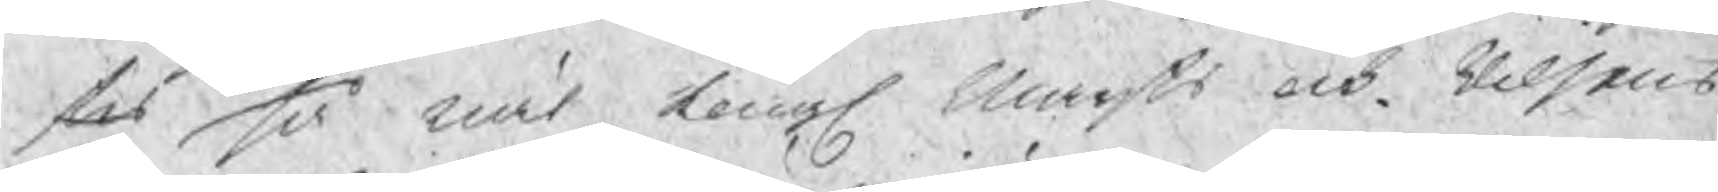tes så wäl Kongl. Maijts och Riksens
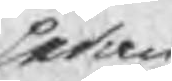sedan
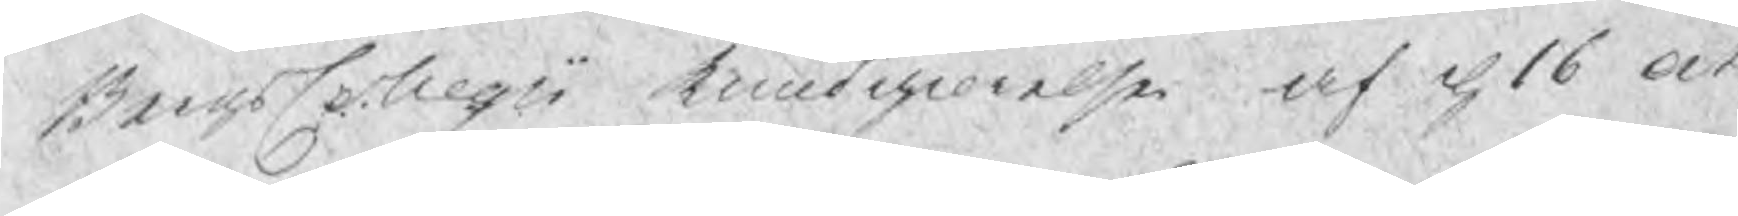BergsCollegii kundgiörelse af d 16 oct
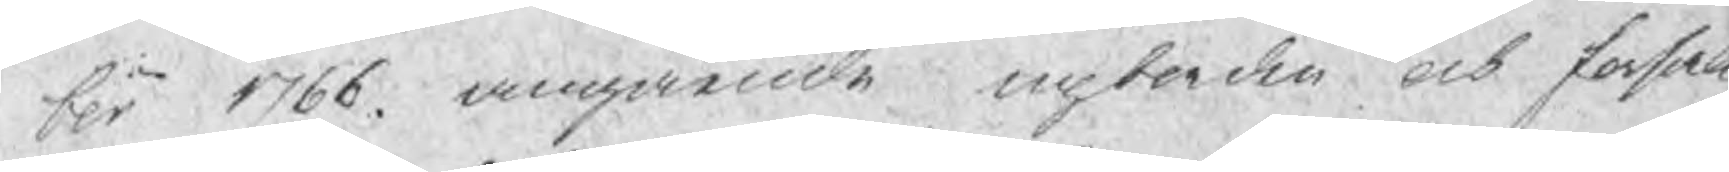ber 1766. angående upborden och forsal
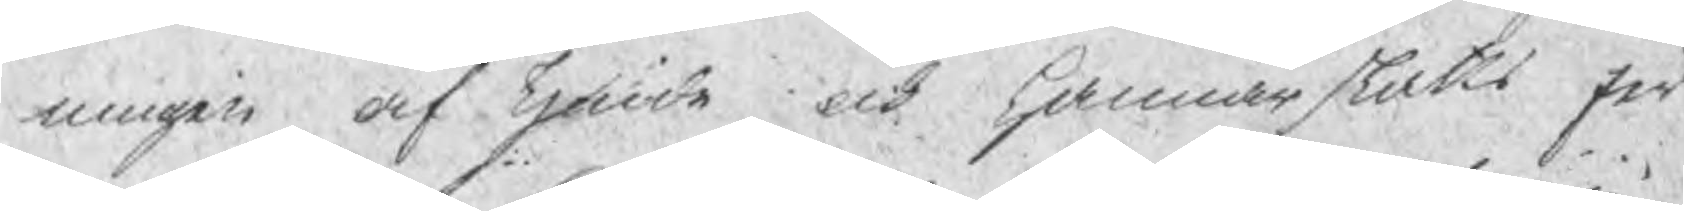ningen af Tjonde och Hammarskatts Jer¬
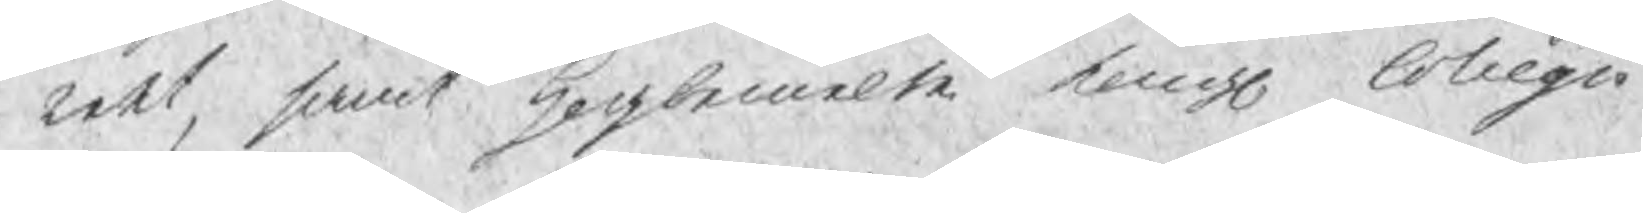net, samt hogbemelte Kongl Collegio
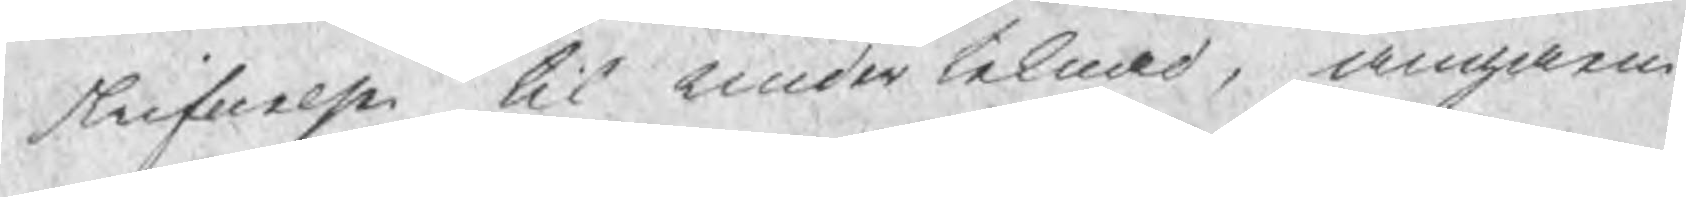skrifuelse til under teknad, angaen¬
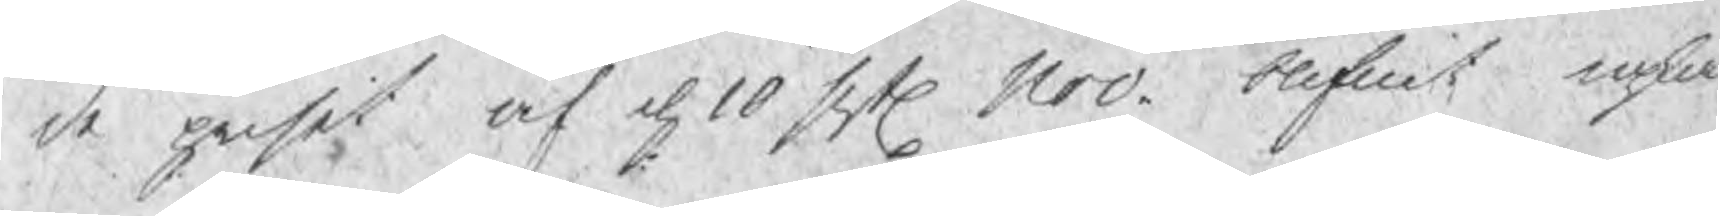de priset af d 10 sistl Nov. blifuit uplä
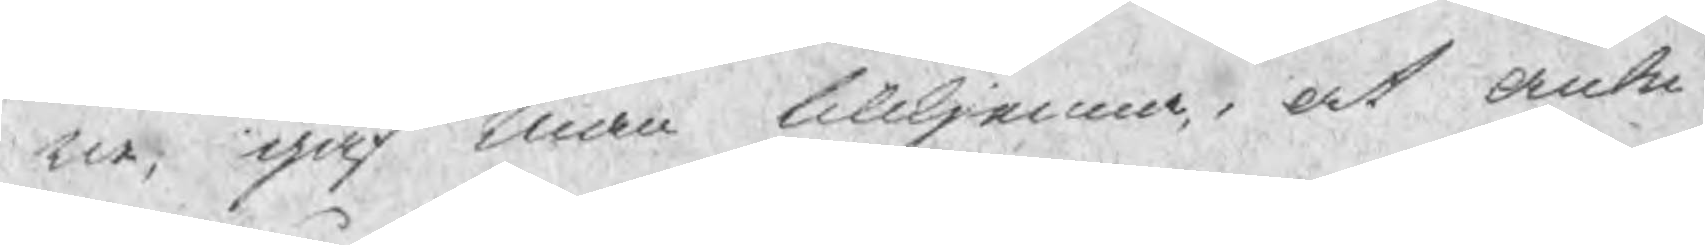ten, gaf man tillkjenna, at anbu¬
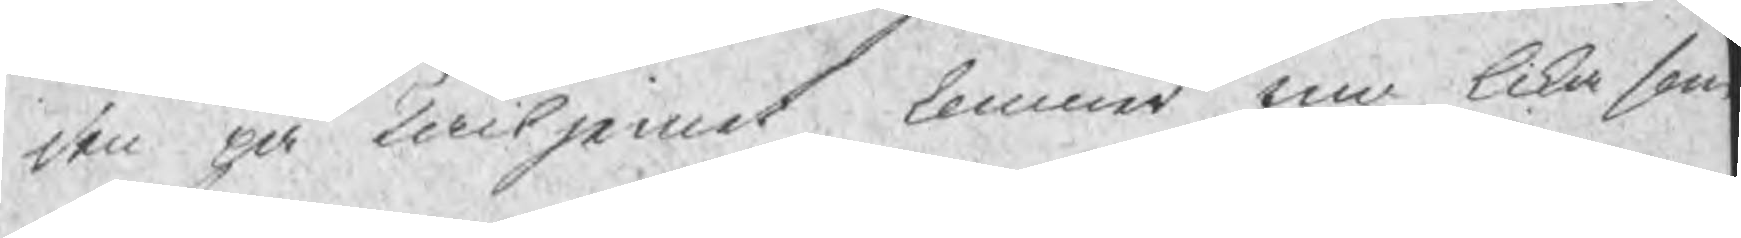den på Tackjernet kommer nu lika som
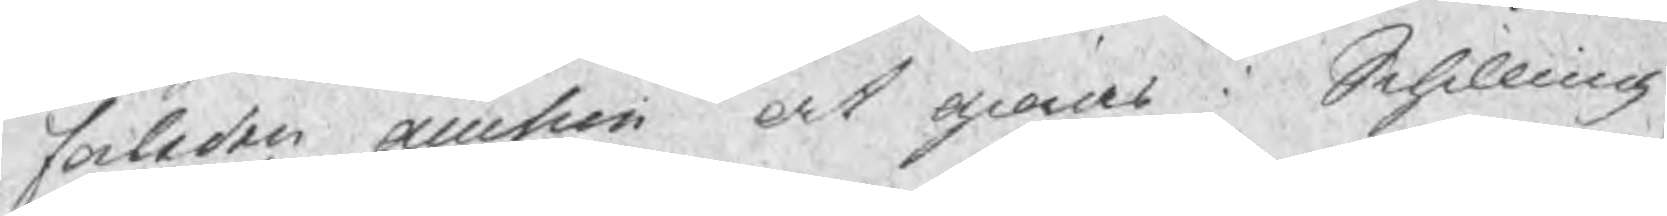forleden auction at gioras i Schilling,
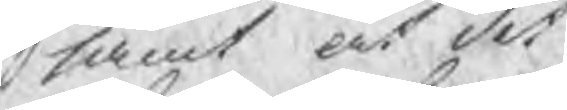samt at det
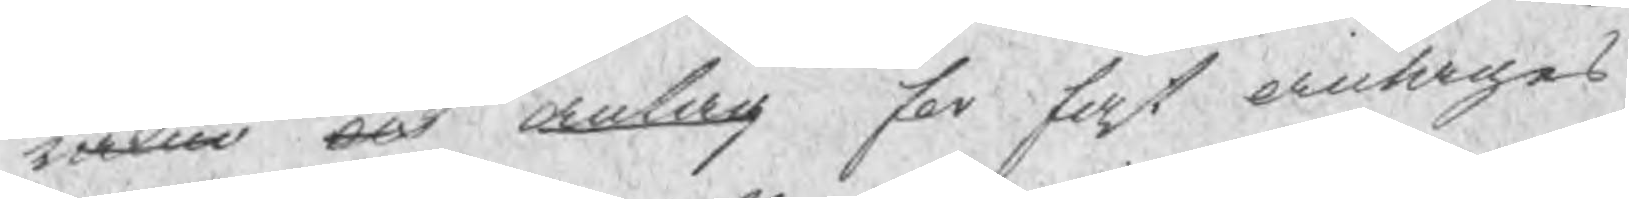rakne och anlag for fast antagas
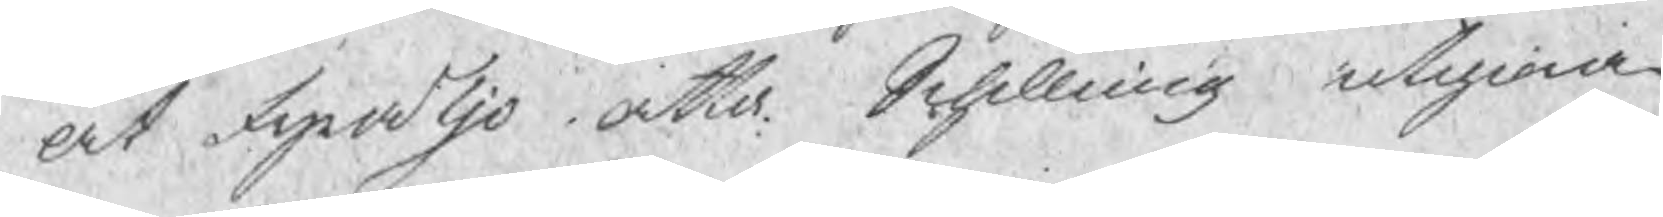at fyrtjo atta Schilling utgiora
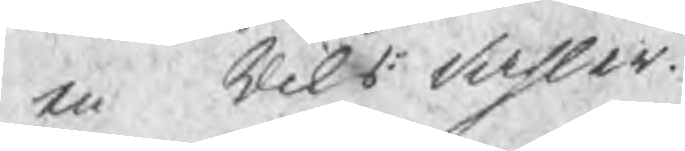en Riks dahler.
